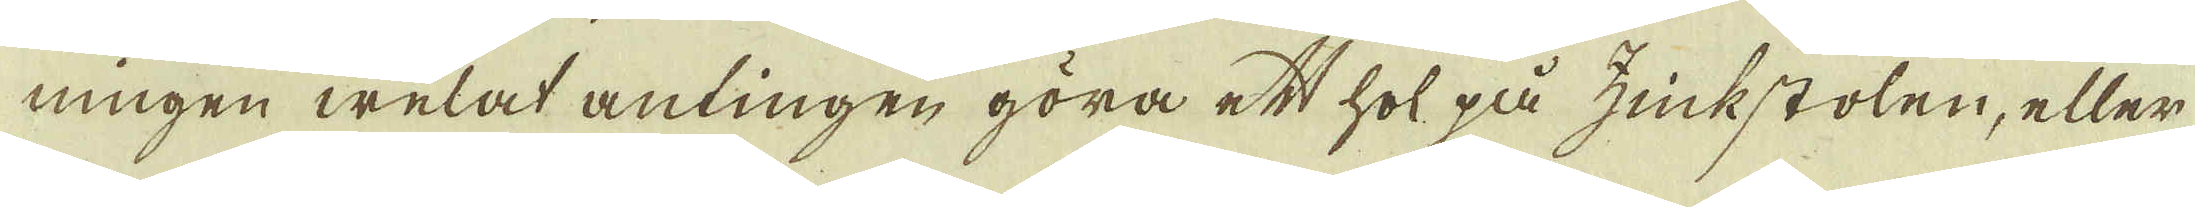ningen welat antingen göra ett hol på zinkstolen, eller
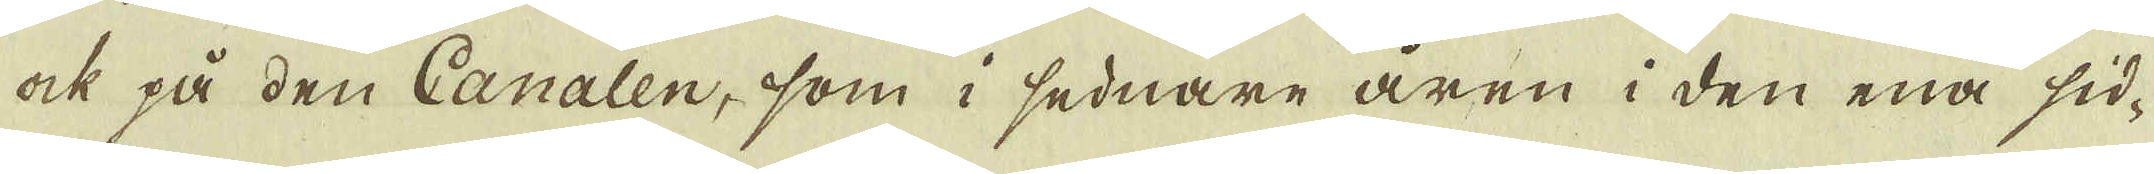ock på den Canalen, som i sednare åren i den ena sid-
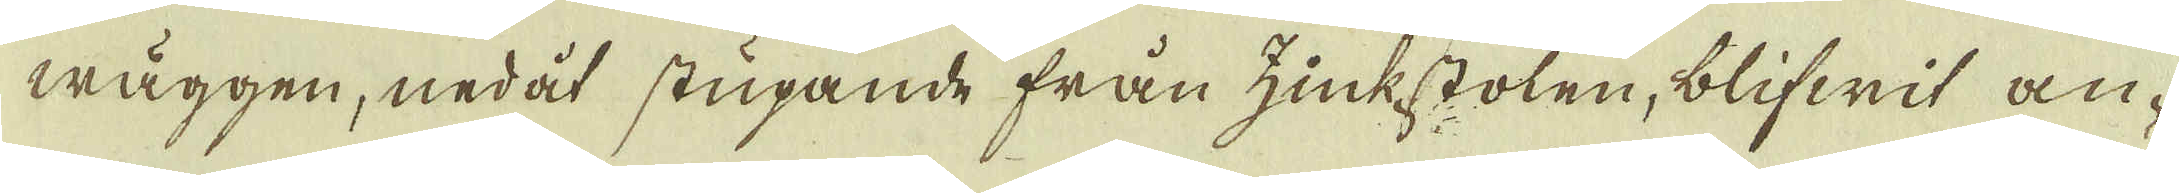wäggen, nedåt stupande från zinkstolen, blifwit an-
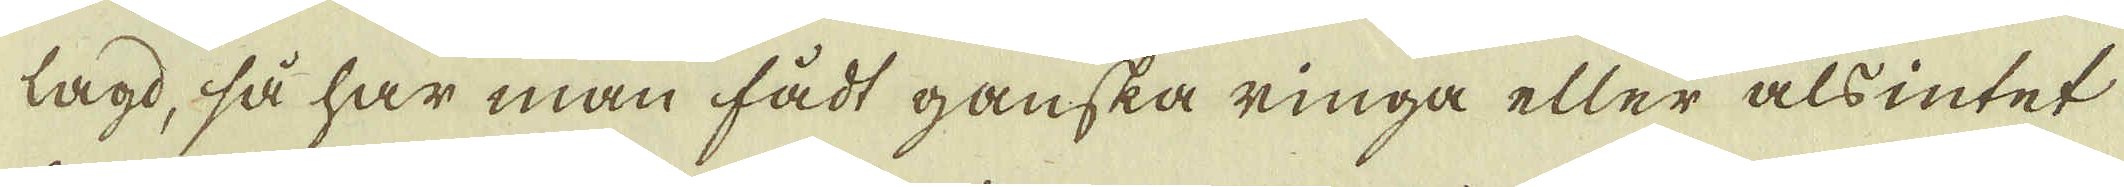lagd, så har man fådt ganska ringa eller alsintet
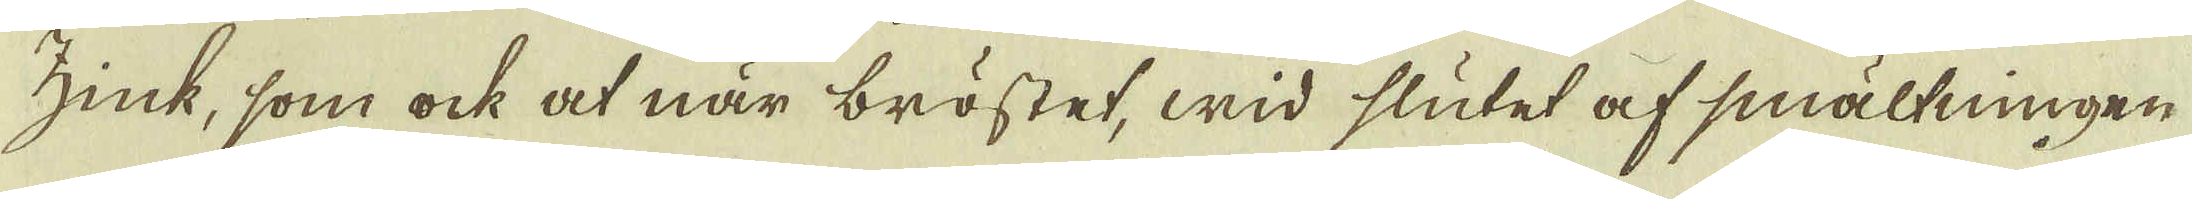zink, som ock at när bröstet, wid slutet af smältningen
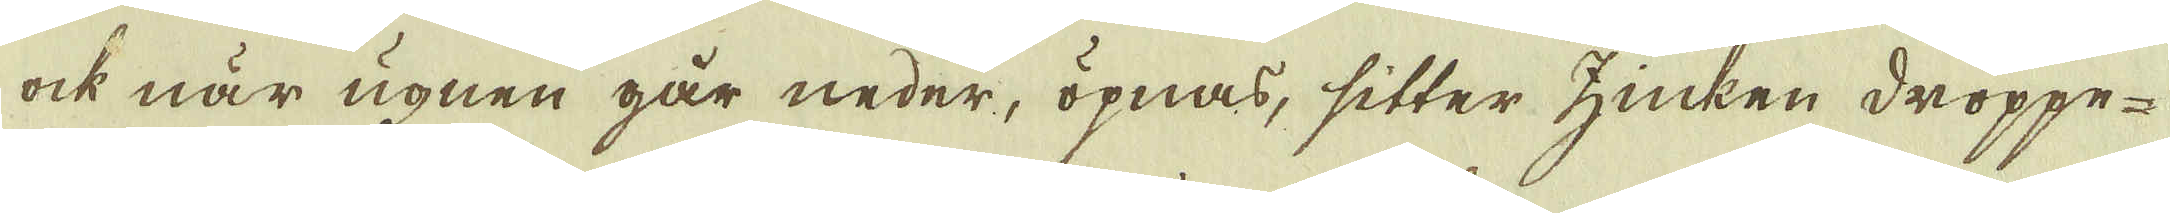ock när ugnen går neder, öpnas, sitter zinken droppe-
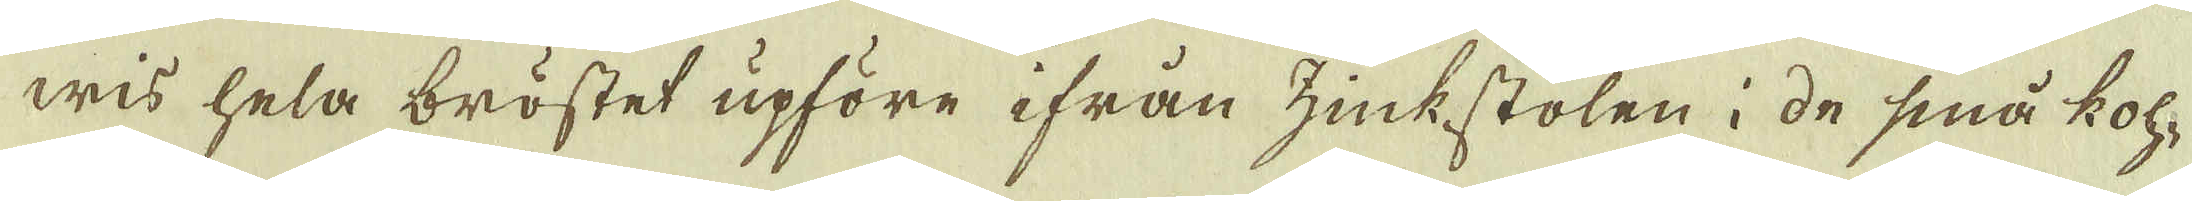wis hela bröstet upföre ifrån zinkstolen i de små koh-
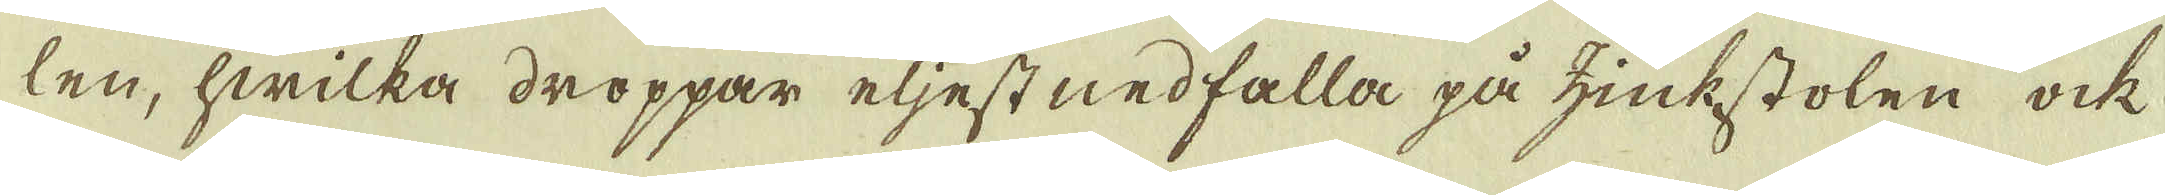len, hwilka droppar eljest nedfalla på zinkstolen ock
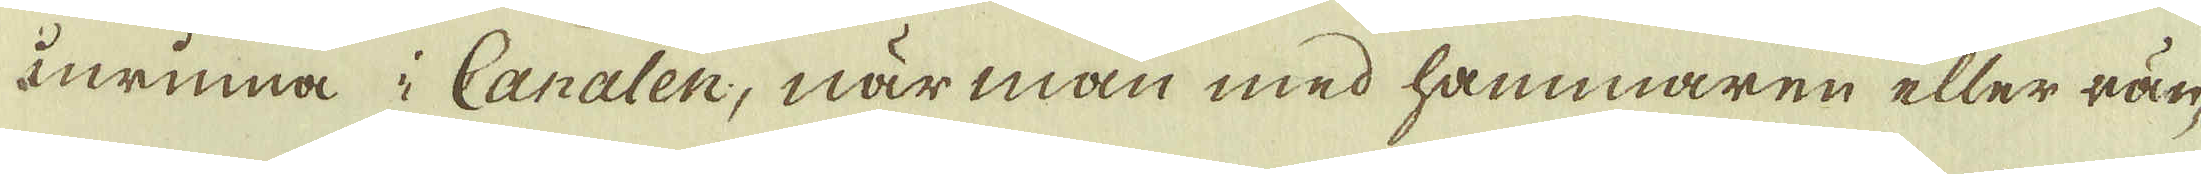inrinna i Canalen, när man med hammaren eller rän-
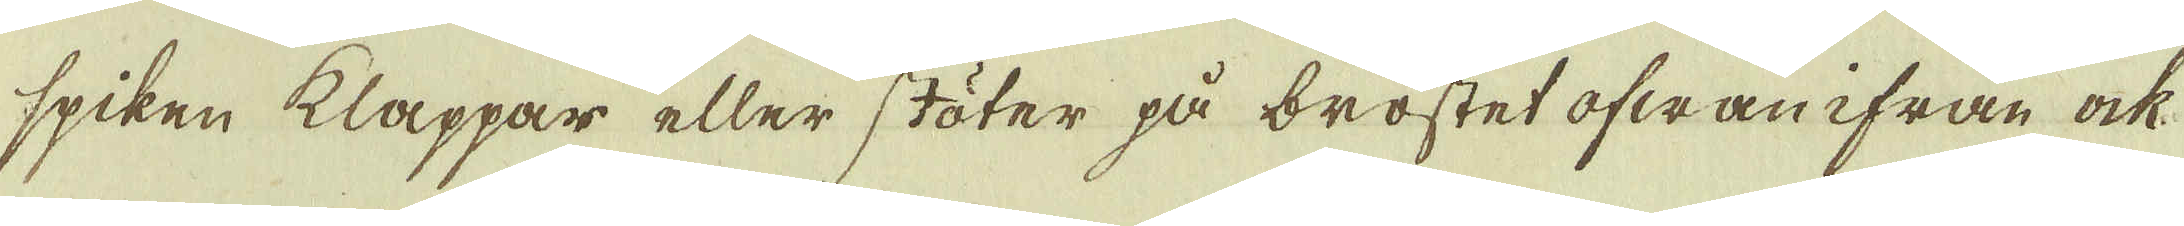spiken klappar eller stöter på bröstet ofwanifrån ock
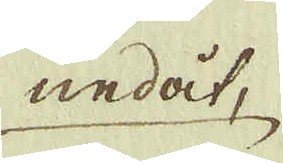nedåt,
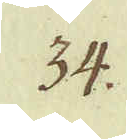34.
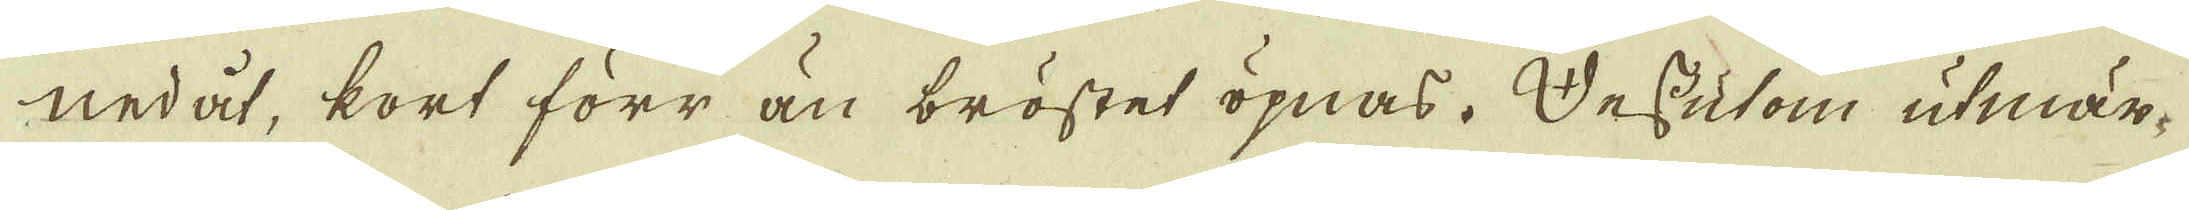nedåt, kort förr än bröstet öpnas. Dessutom utmär-
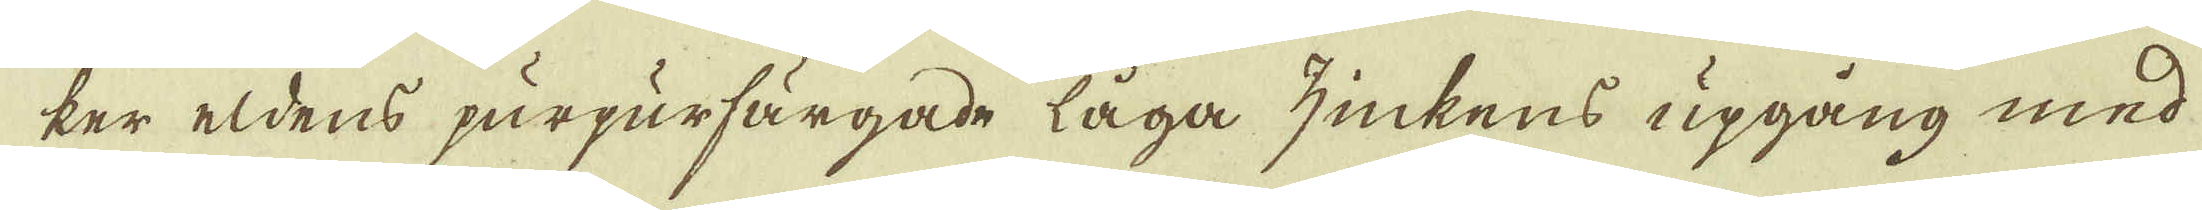ker eldens purpurfärgade låga zinkens upgång med
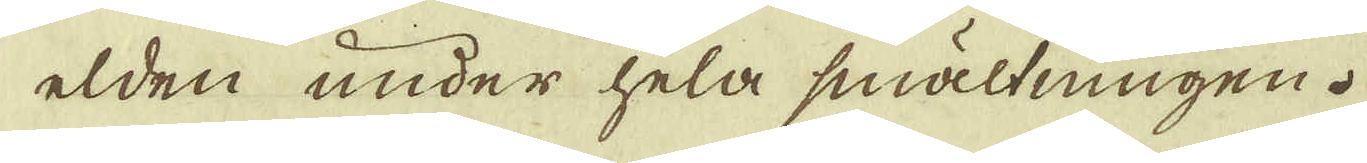elden under hela smältningen.
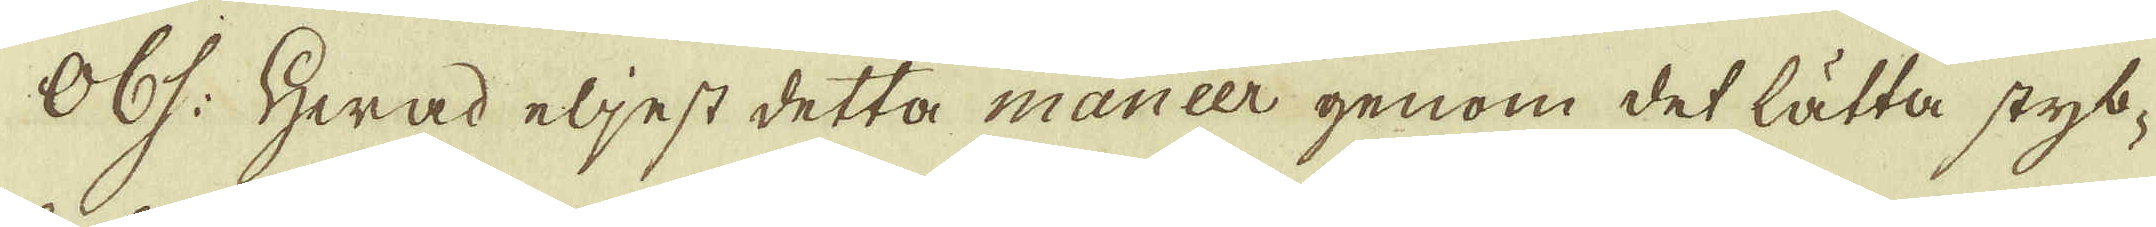Obs: Hwad eljest detta maneer genom det lätta styb-
